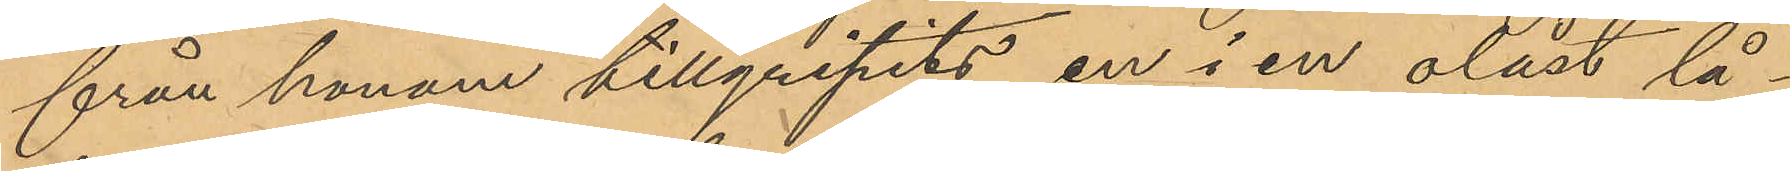från honom tillgripits en i en olåst lå¬
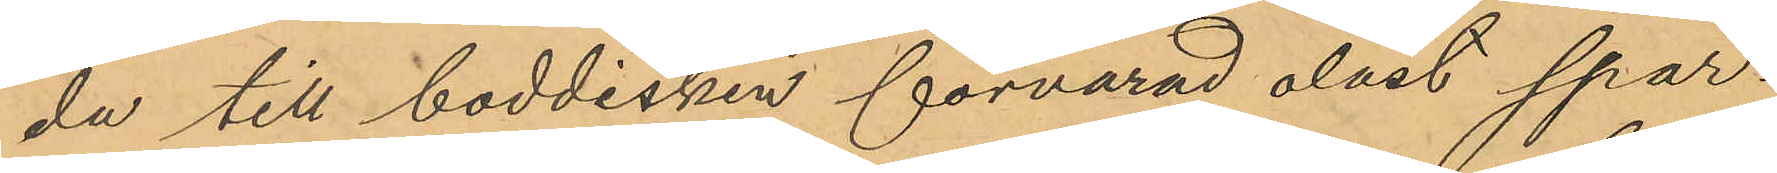da till boddisken förvarad olåst spar¬
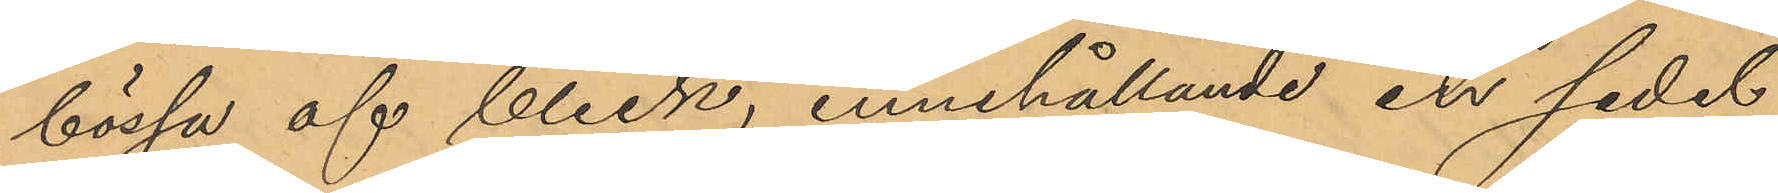bössa af bleck, innehållande en sedel
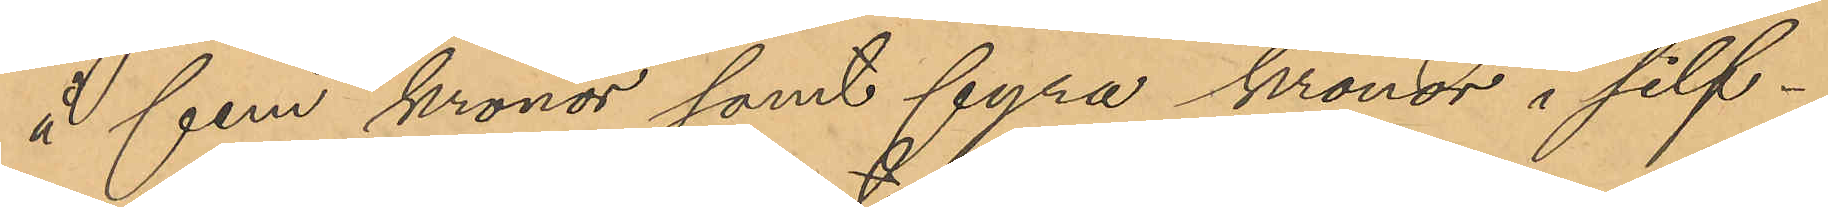å fem kronor samt fyra kronor i silf¬
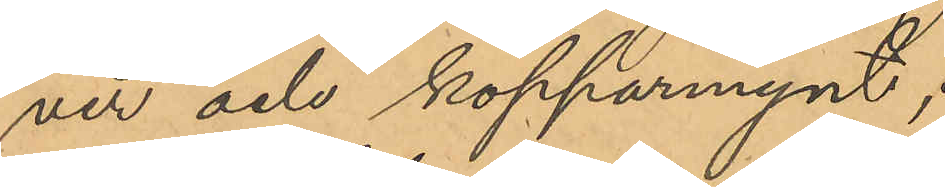ver och kopparmynt;
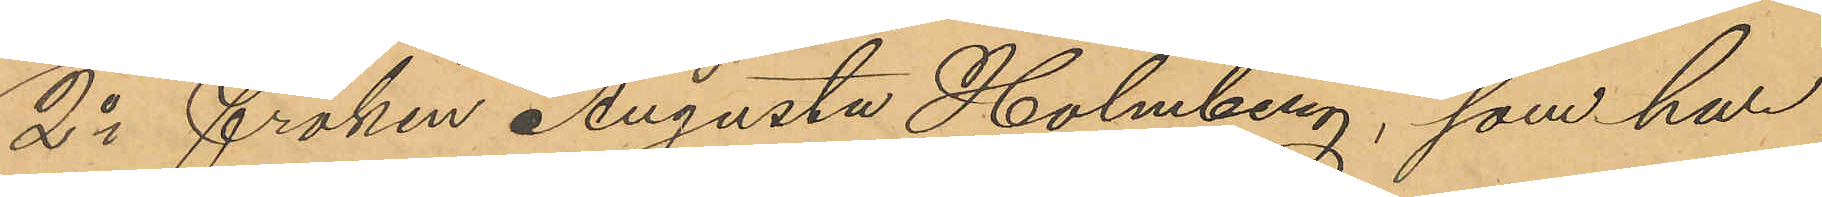2o fröken Augusta Holmberg, som har
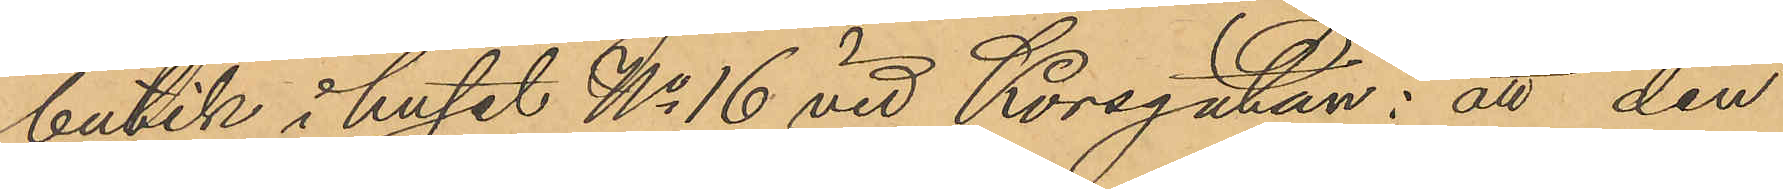butik i huset No 16 vid Korsgatan: att den
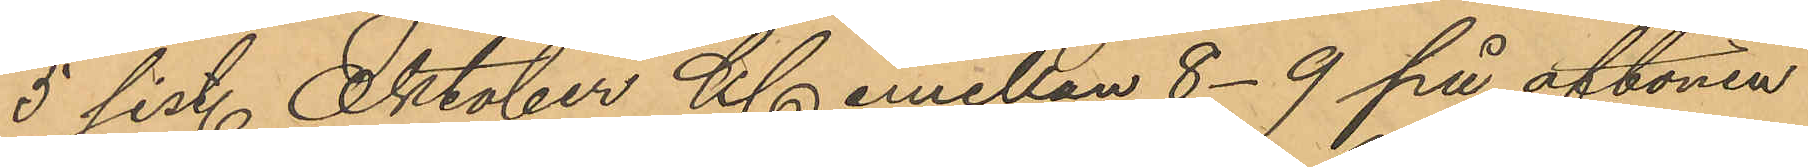5 sist. Oktober Kl emellan 8-9 på aftonen
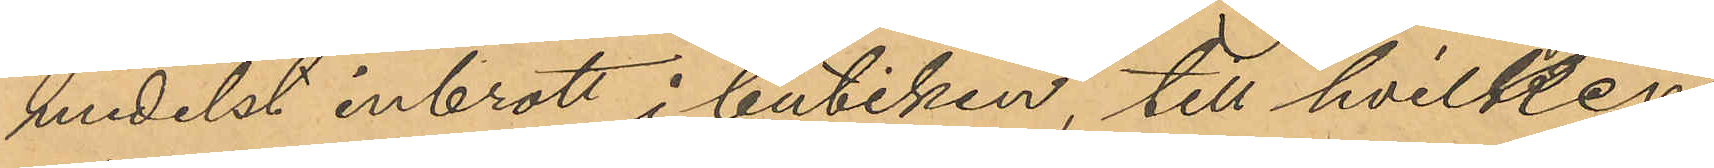medelst inbrott i butiken, till hvilken
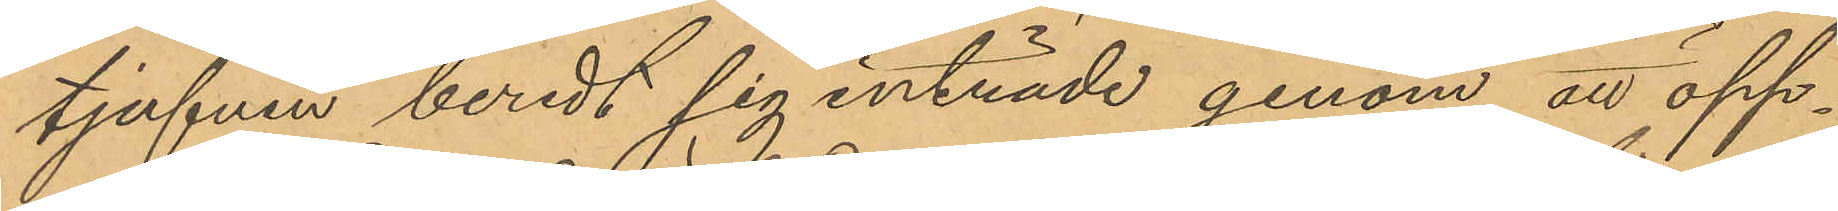tjufven beredt sig inträde genom att öpp¬
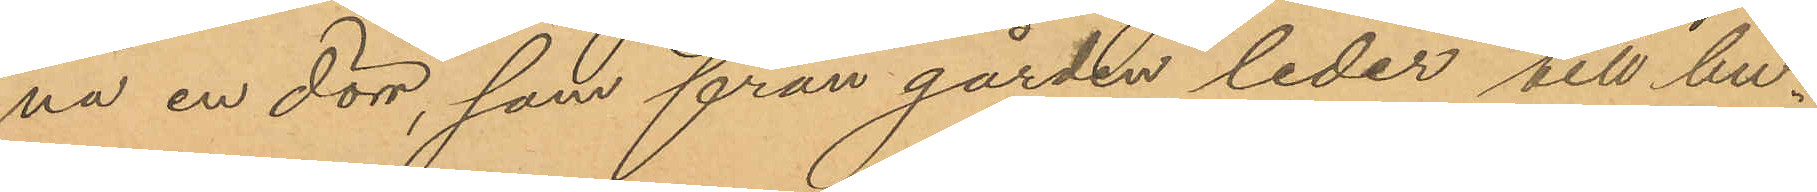na en dörr, som från gården leder till bu¬
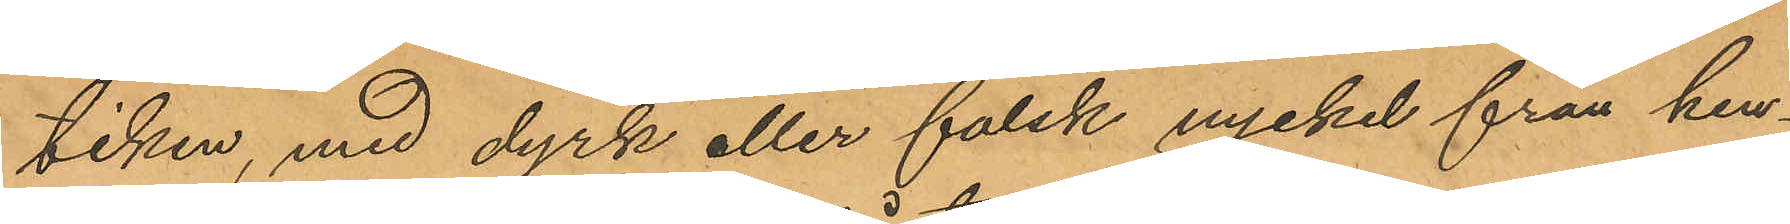tiken, med dyrk eller falsk nyckel från hen¬
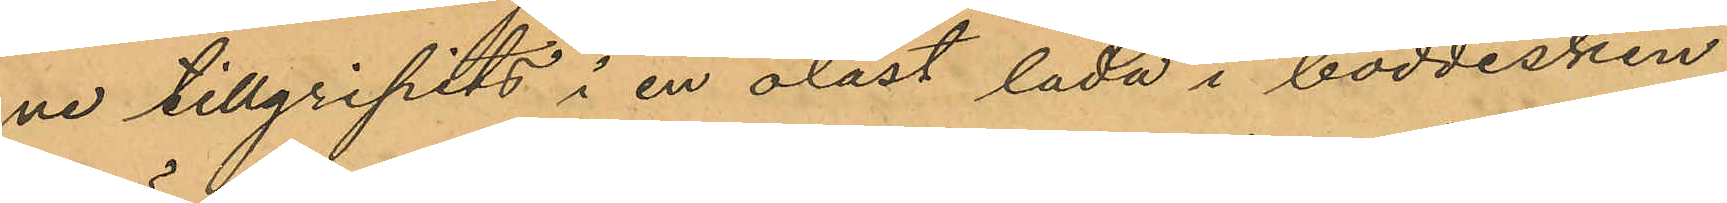ne tillgripits i en olåst låda i boddisken
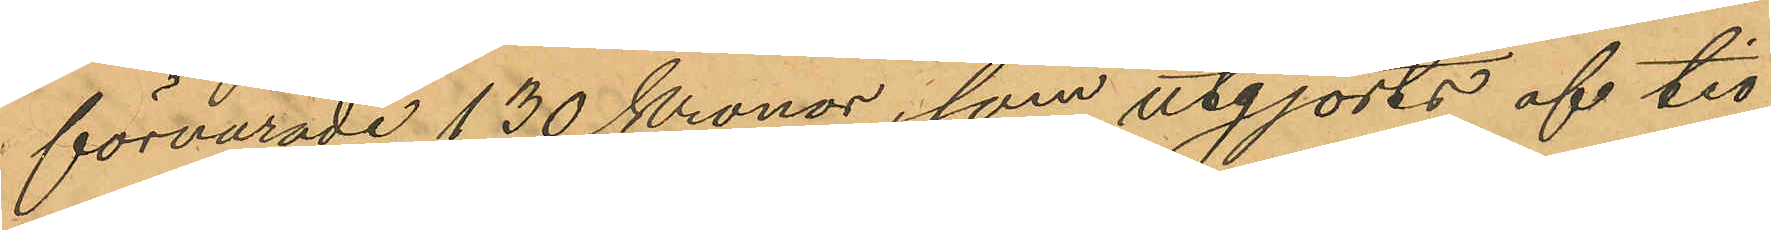förvarade 130 Kronor, som utgjorts af tio
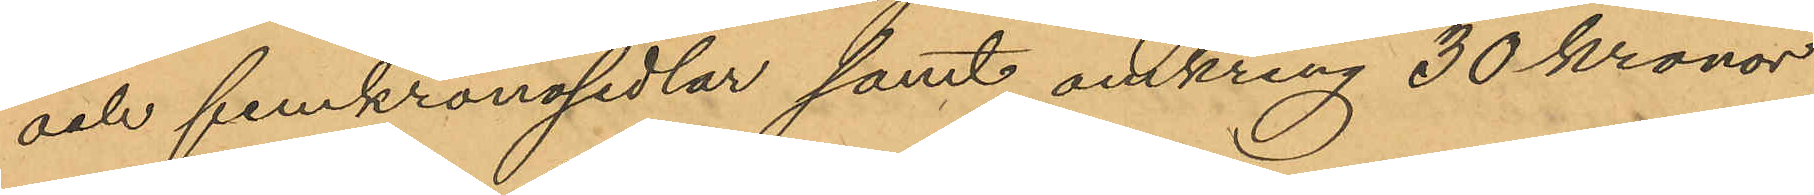och femkronosedlar samt omkring 30 kronor
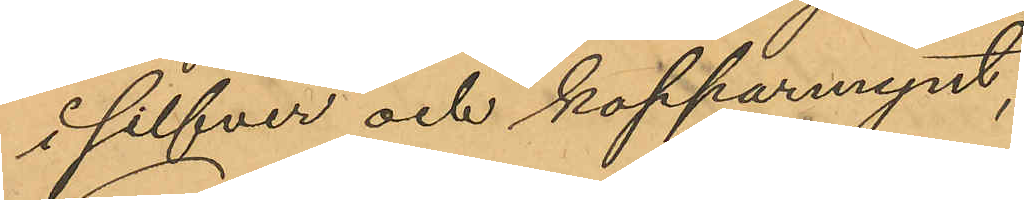i silfver och kopparmynt;
